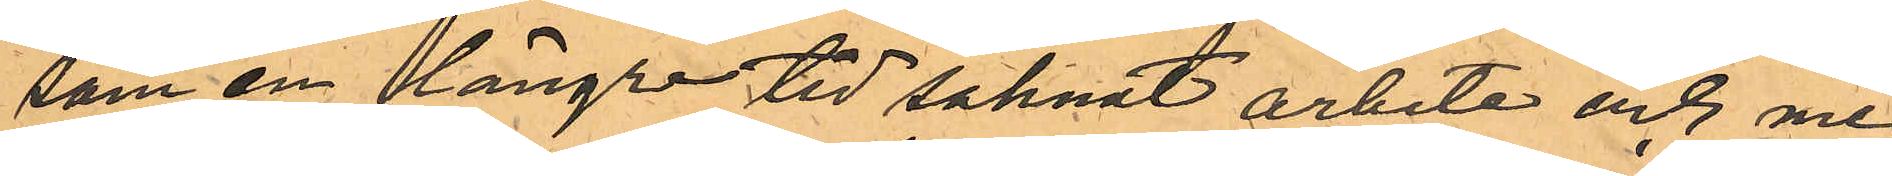som en längre tid saknat arbete och me¬
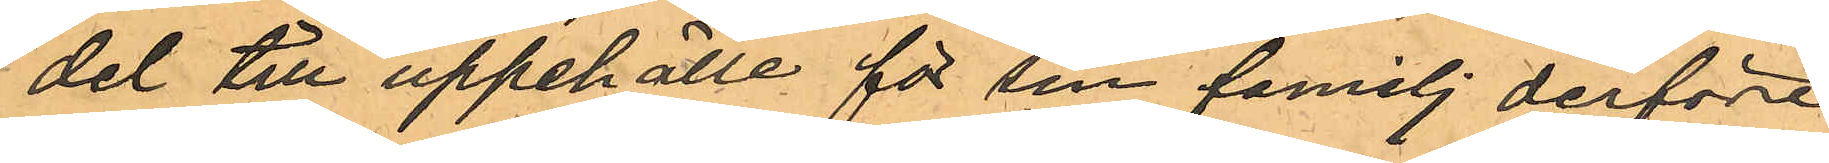del till uppehälle för sin familj derföre
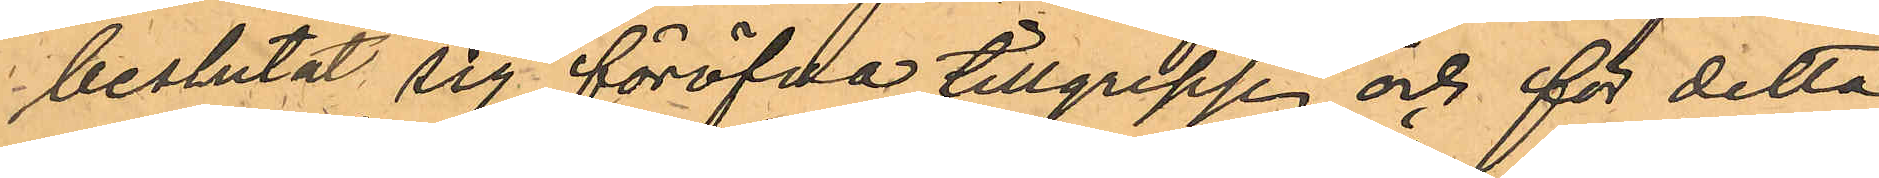beslutat sig föröfva tillgrepp och för detta
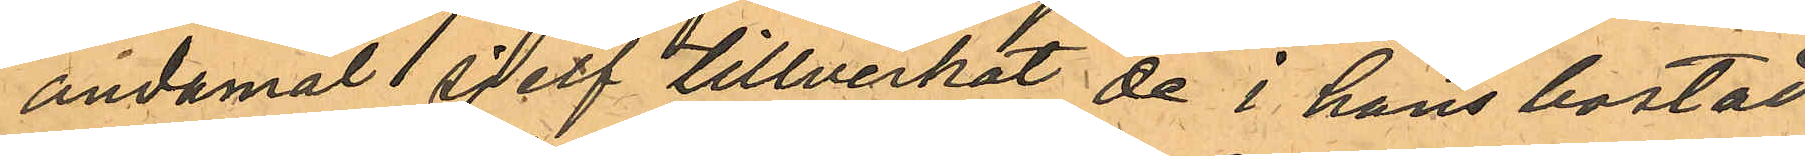andamål sjelf tillverkat de i hans bostad
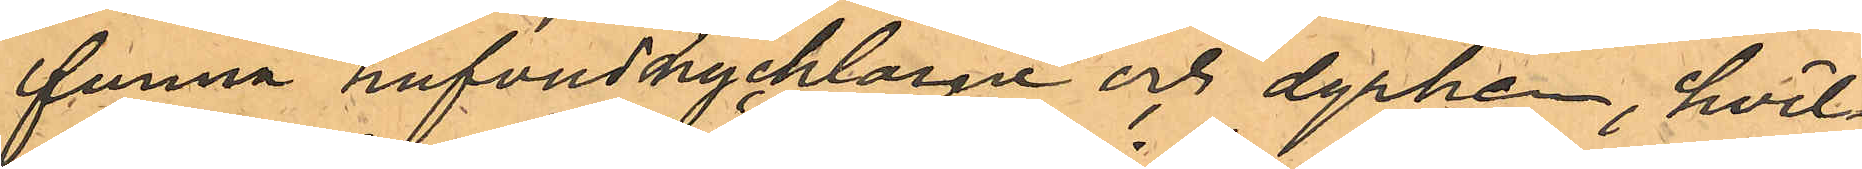funna hufvudnycklarne och dyrken, hvil¬
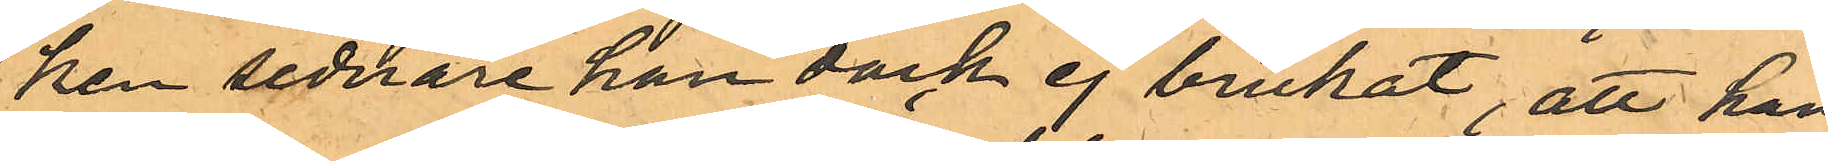ken sednare han dock ej brukat, att han
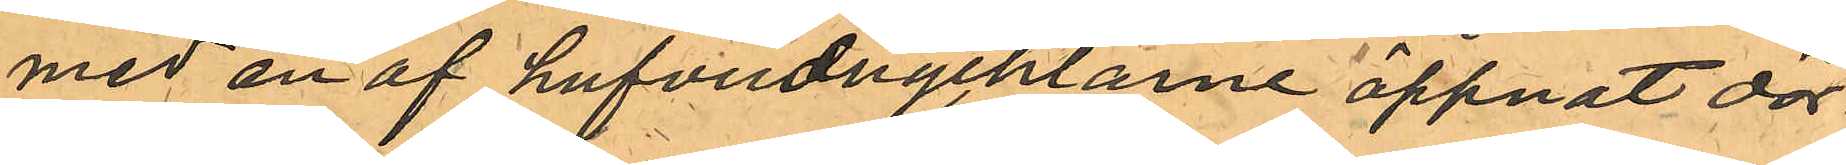med en af hufvudnycklarne öppnat dör¬
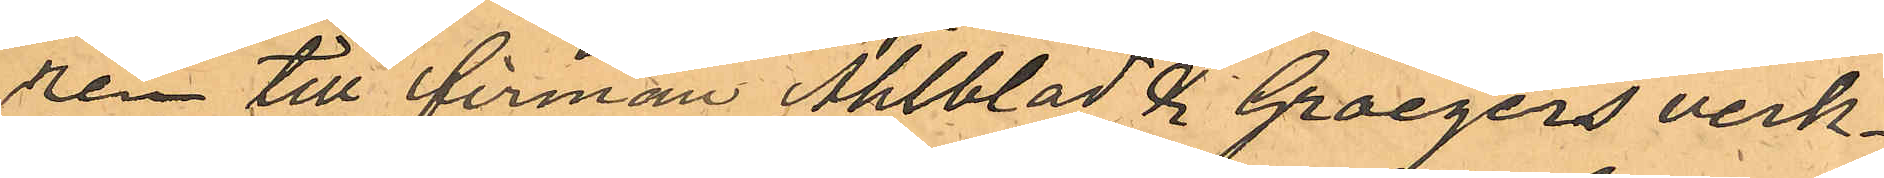ren till firman Ahlblad & Groegers verk¬
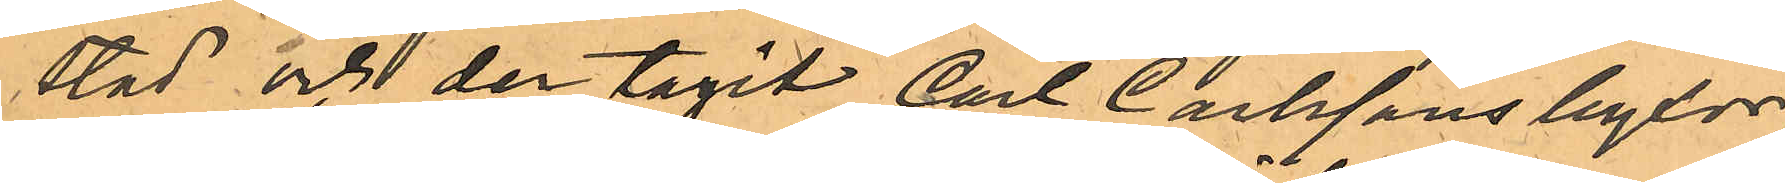stad och der tagit Carl Carlssons byxor,
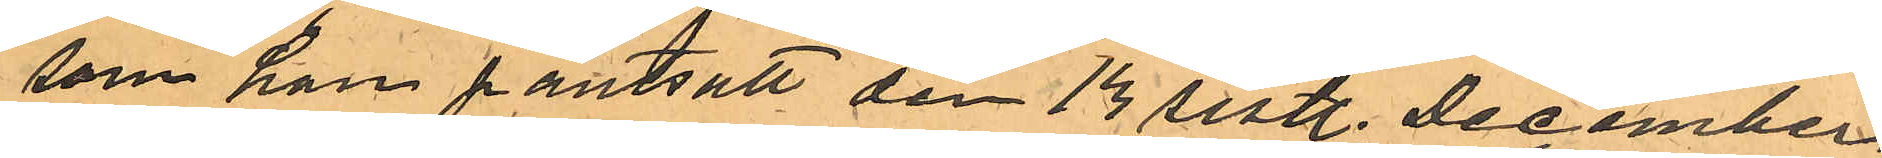som han pantsatt den 13 sistl. December
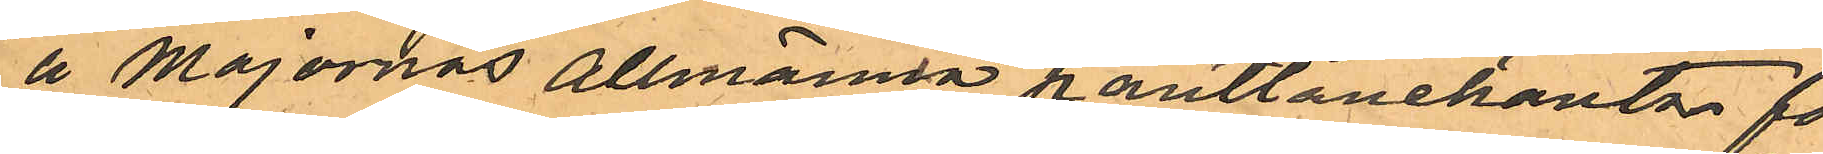å Majornas Allmänna pantlånekontor för
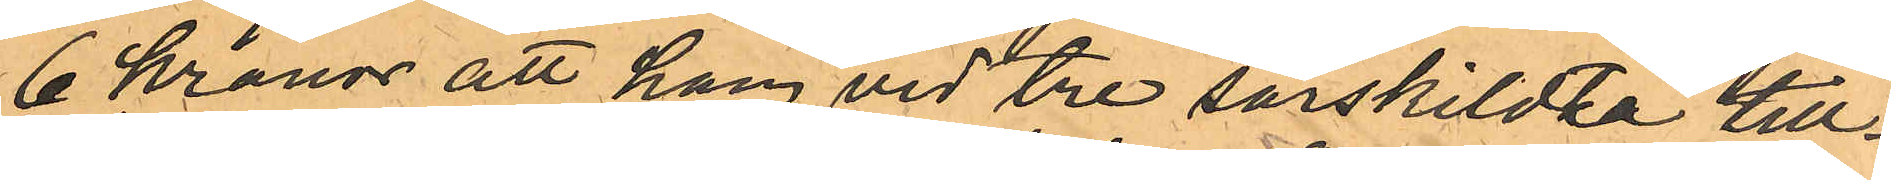6 Kronor att han vid tre särskildta till¬
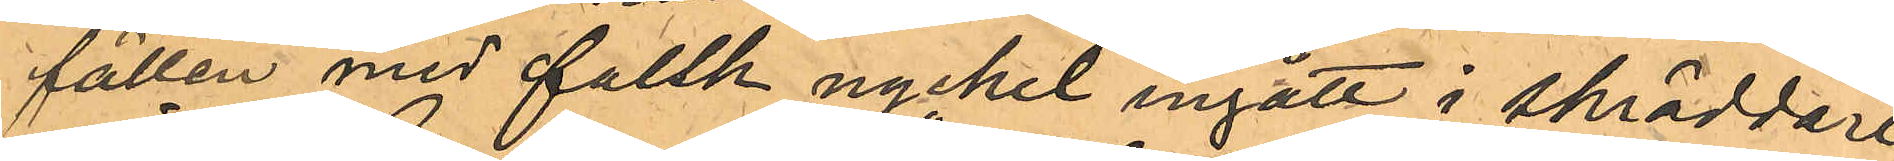fällen med falsk nyckel ingått i skräddare¬
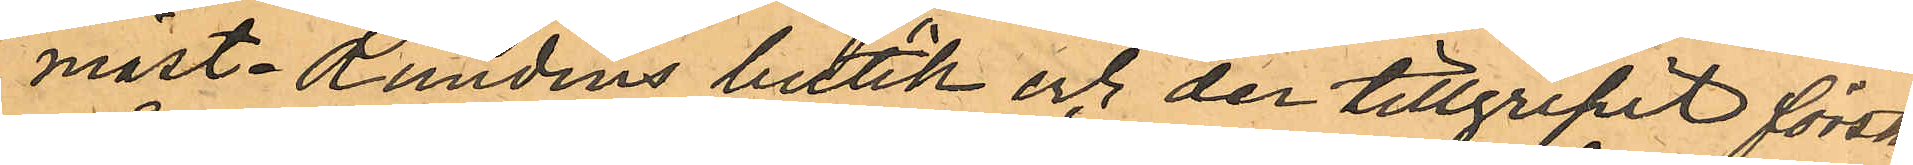mäst. Rundins butik och der tillgripit första
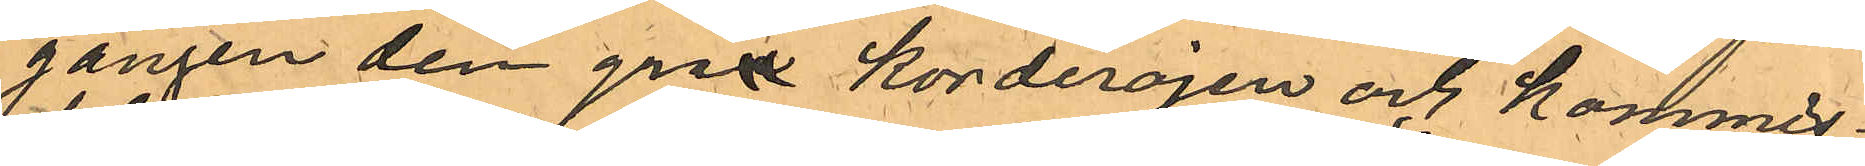gången den gråa korderojen och kommis¬
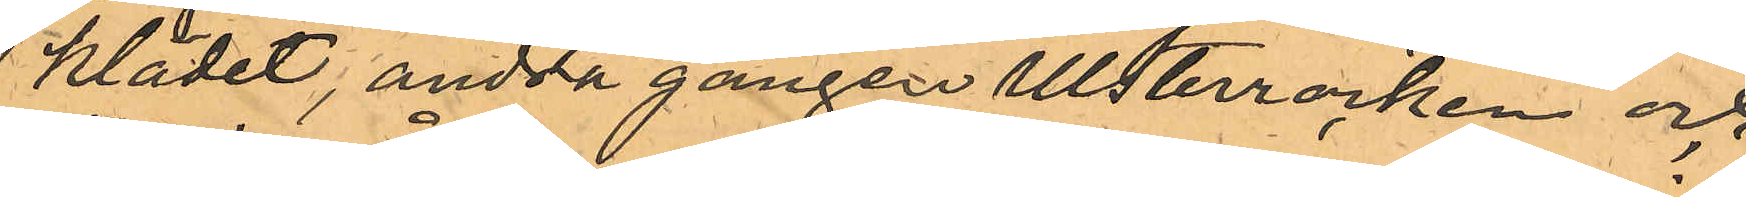klädet, andra gången Ulsterrocken och
